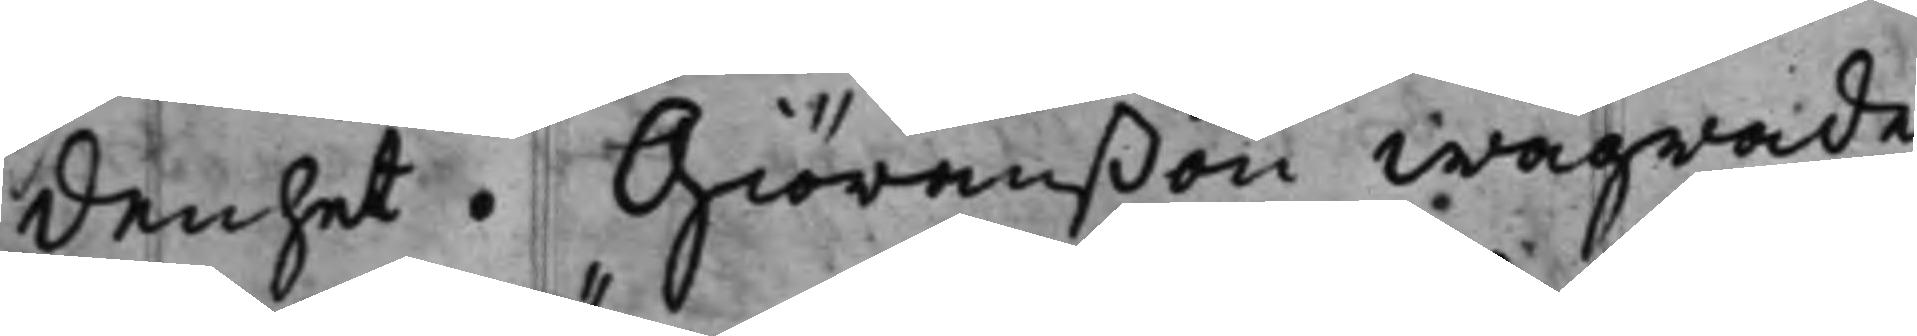denhet. Giöranßon wägrade
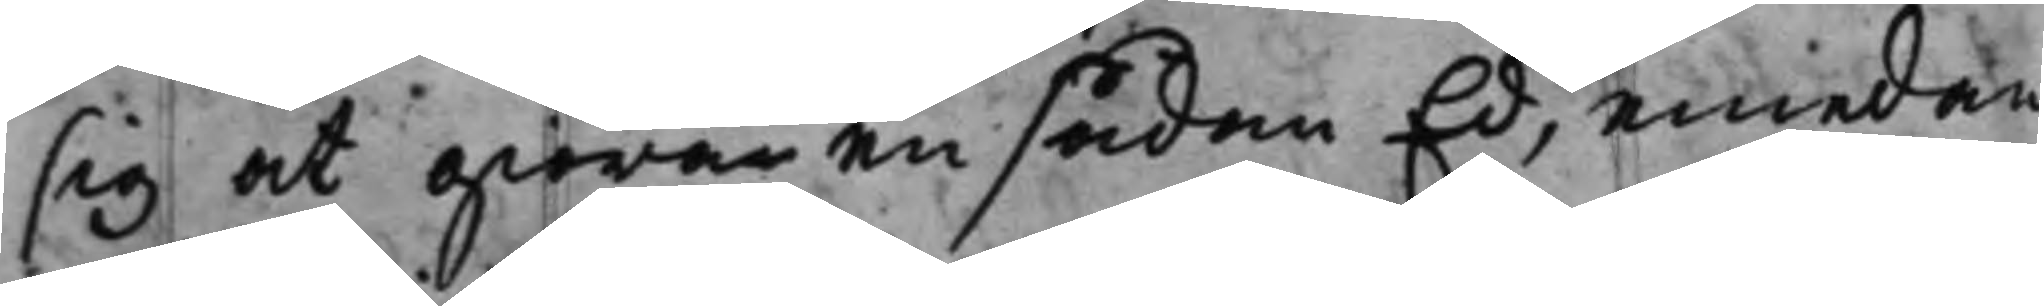sig at giöra en sådan Ed, emedan
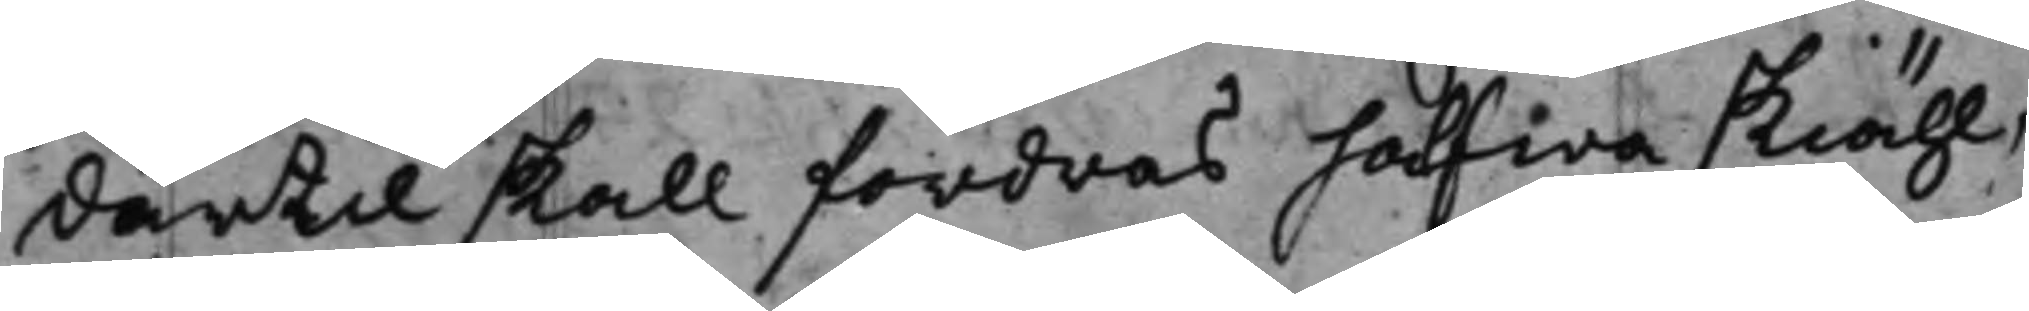därtill skall fordras hafwa skiähl,
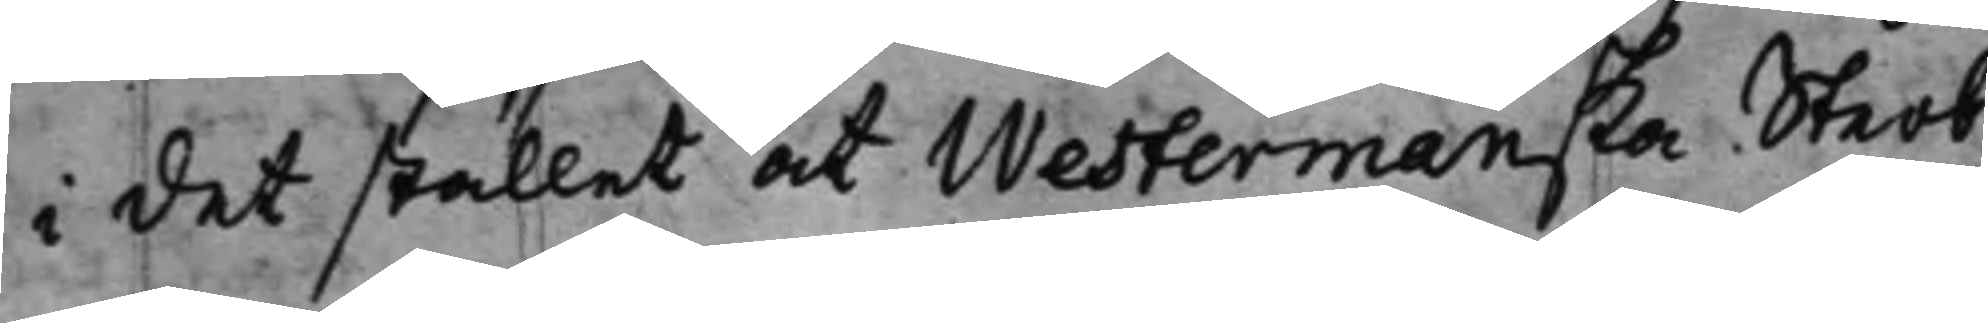i det stället at Westermanska Sterb¬
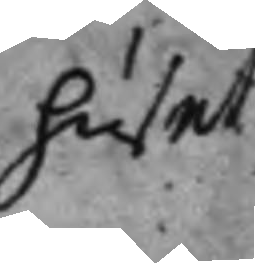huset
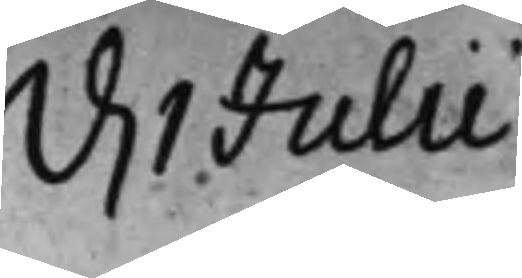d 1 Julii.
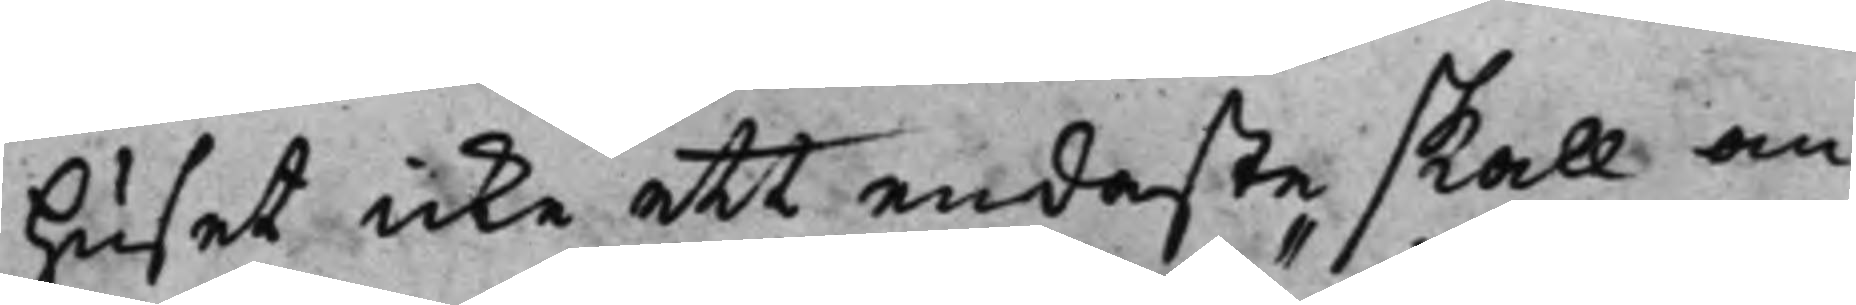huset icke ett endaste skall an¬
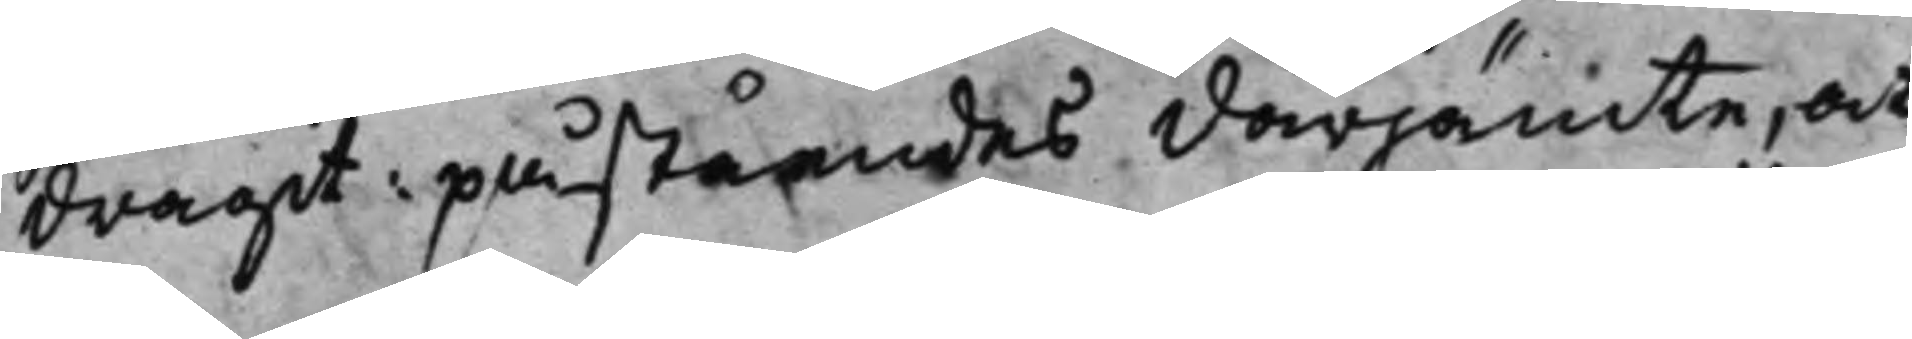dragit påståendes derjämte, at
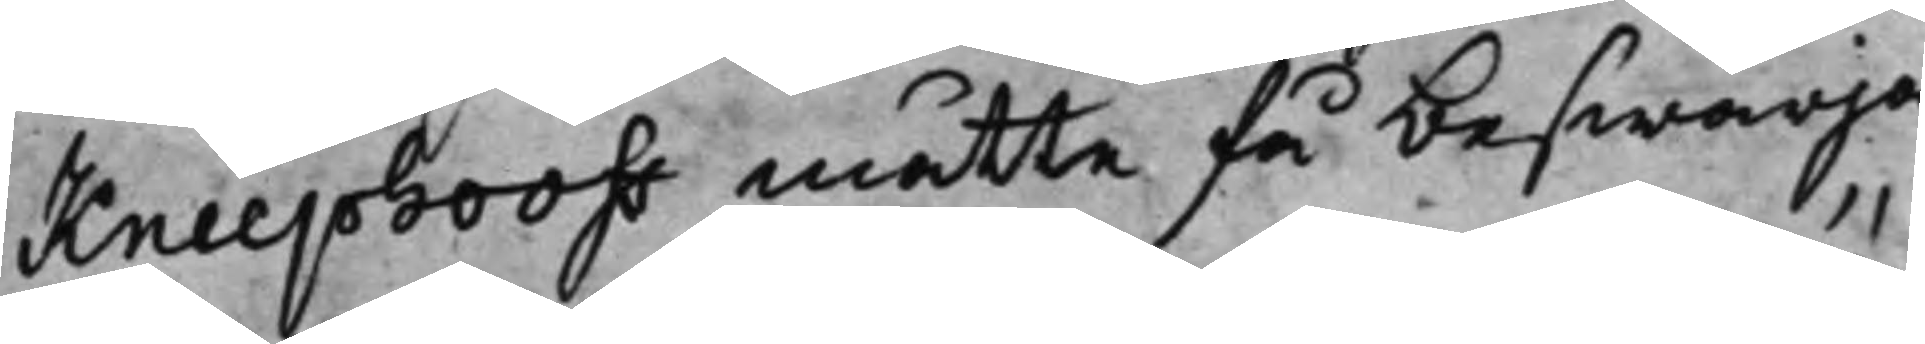Kneephooff måtte få beswärja
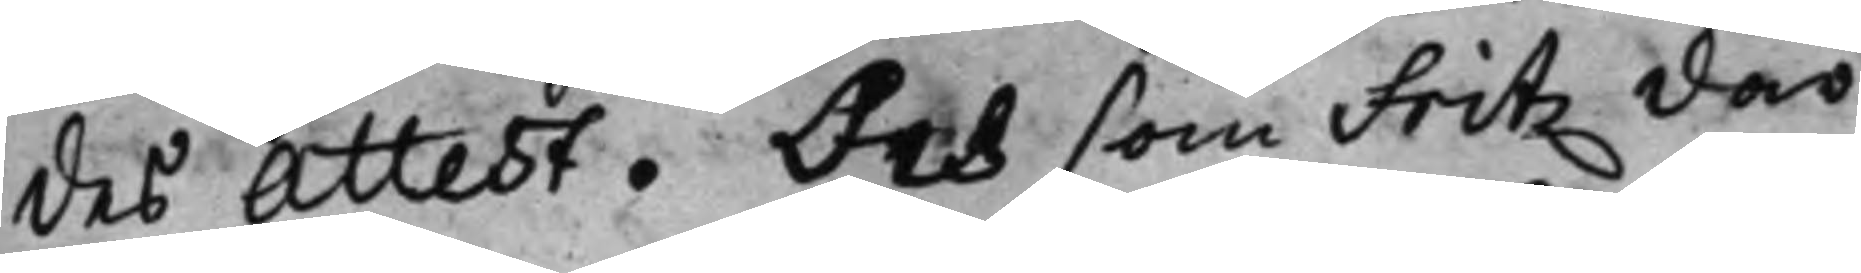des Attest. Och som Fritz där¬
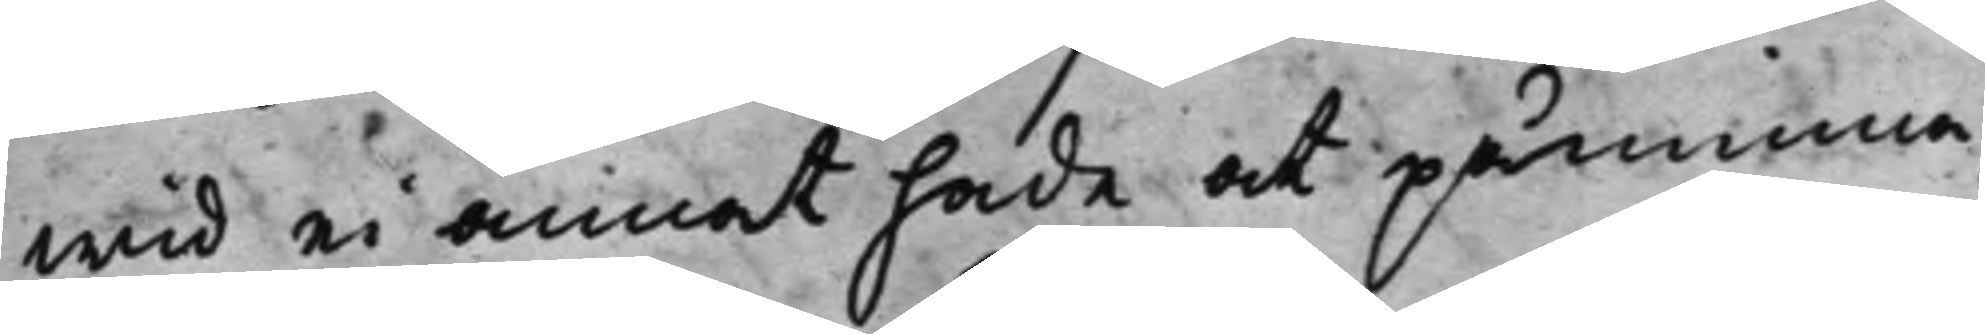wid ei annat hade at påminna,
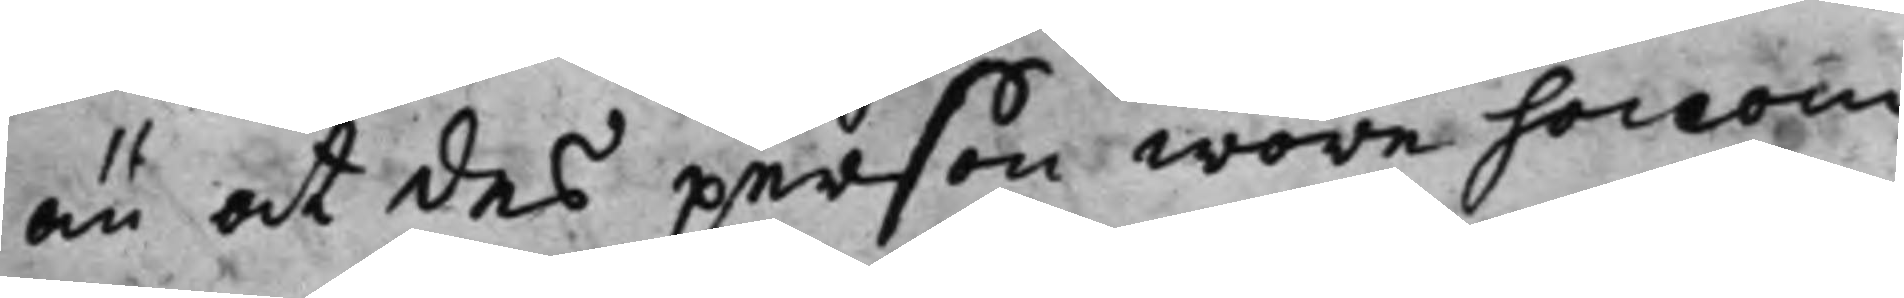än at des person wore honom
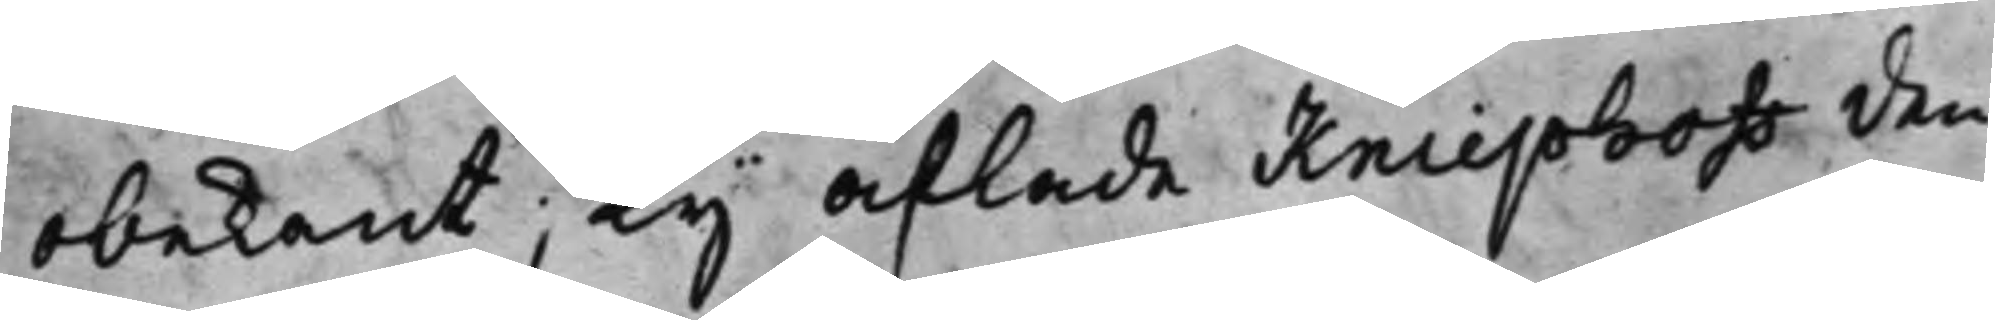obekant; Ty aflade Kniephoff den
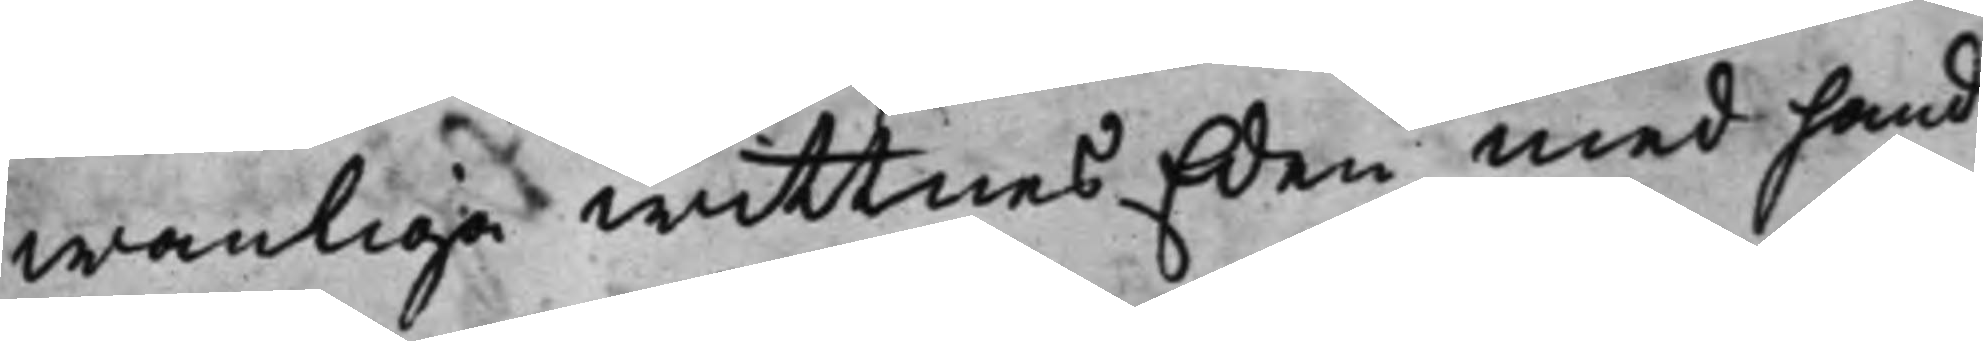wanliga wittnes Eden med hand
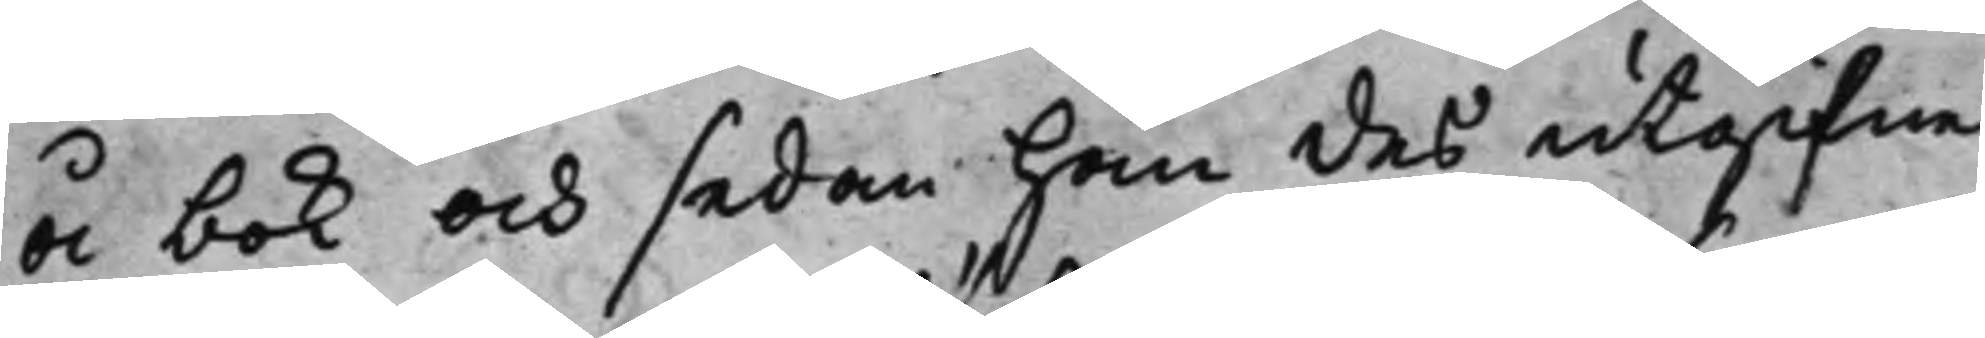å bok och sedan han des utgifne
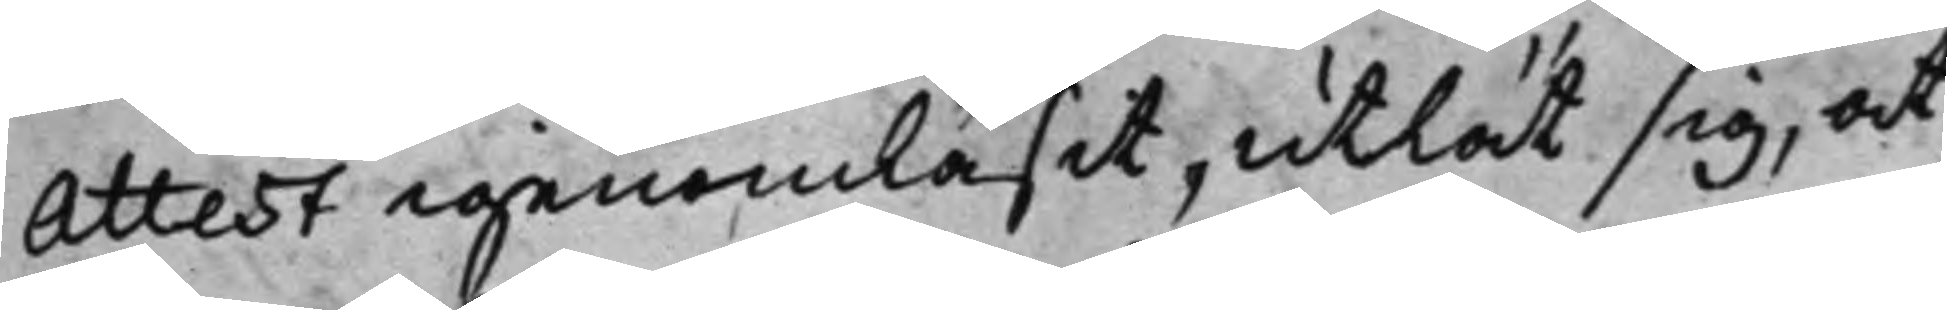Attest igenomläsit, utlät sig, at
